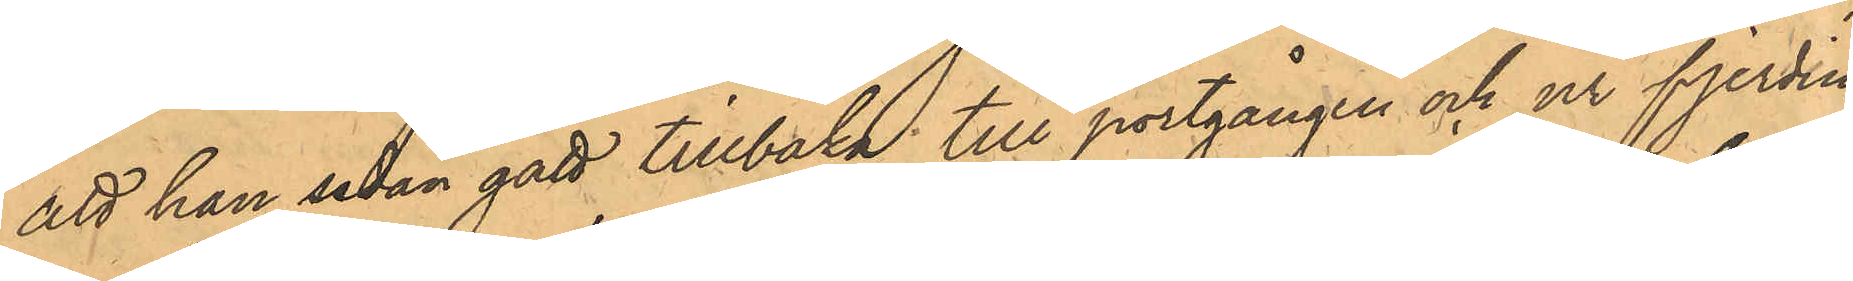att han sedan gått tillbaka till portgången och ur fjerdin¬
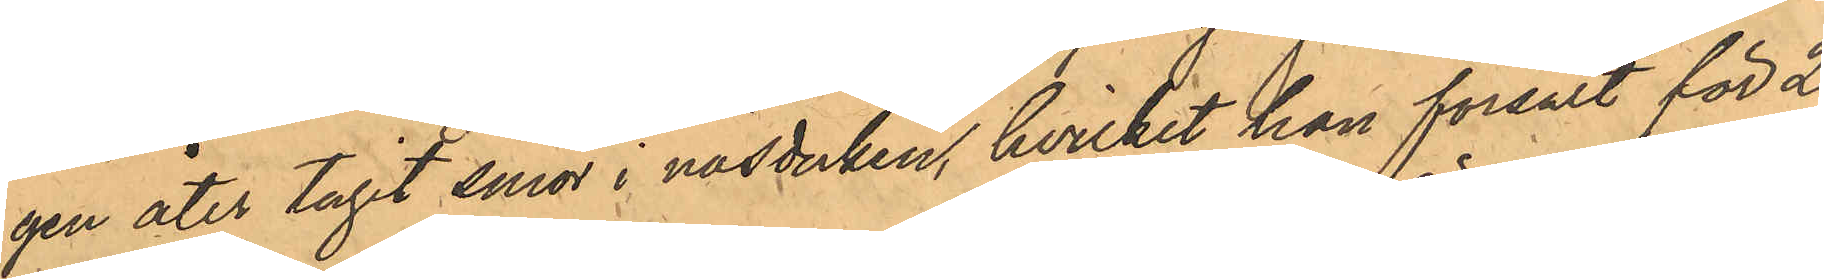gen åter tagit smör i näsduken, hvilket han försålt för 2
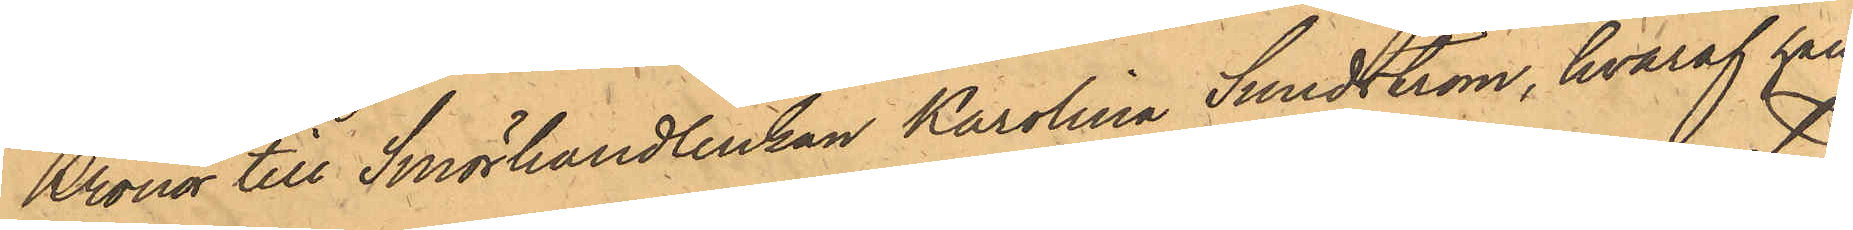Kronor till Smörhandlerskan Karolina Sundström, hvaraf han
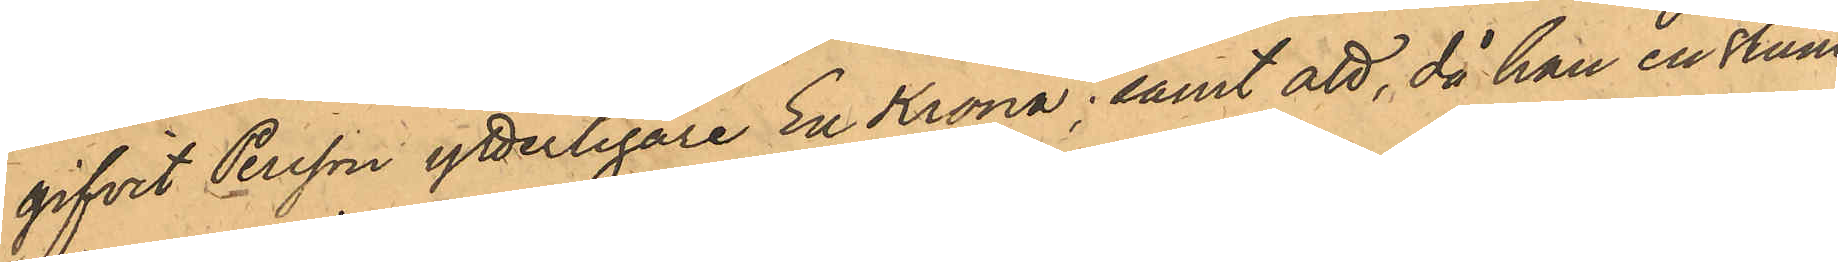gifvit Persson ytterligare En Krona; samt att, då han en stund
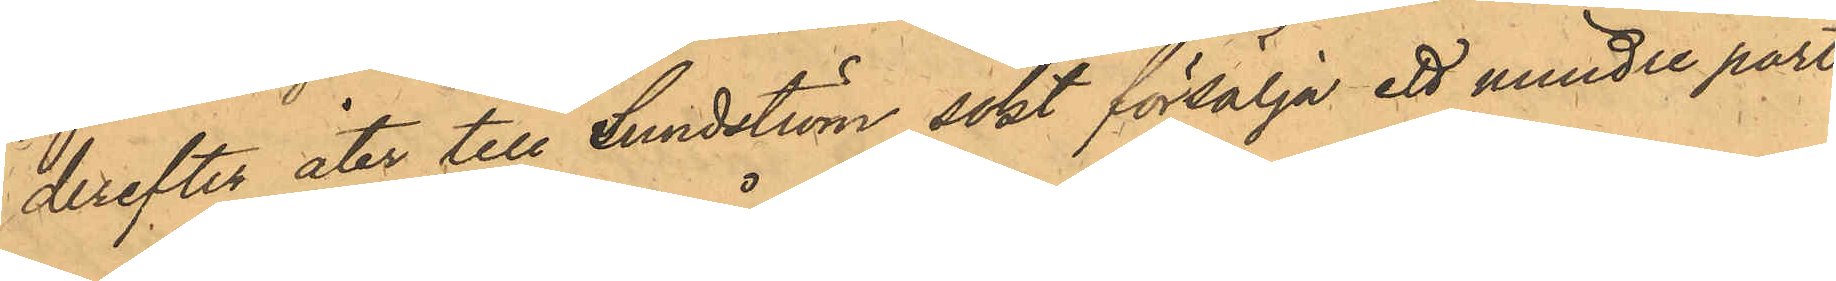derefter åter till Sundström sökt försälja ett mindre parti
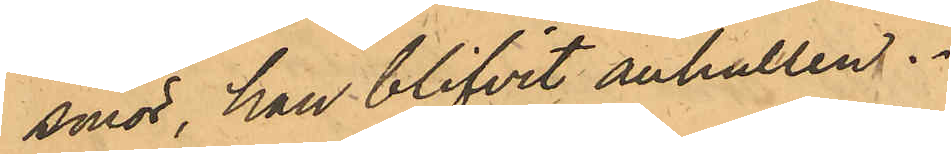smör, han blifvit anhållen.
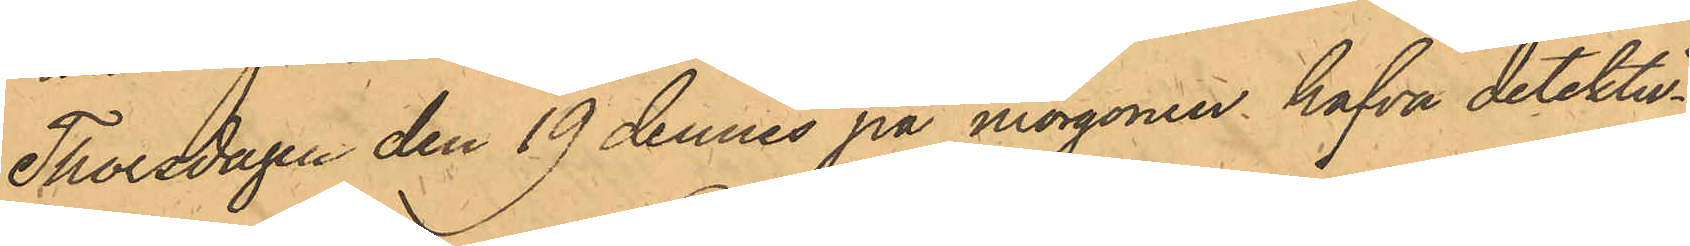Thorsdagen den 19 dennes på morgonen hafva detektiv¬
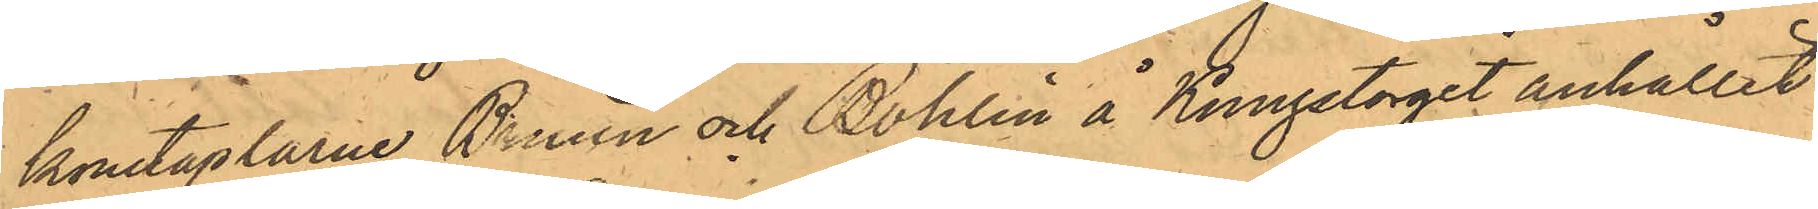konstaplarna Bruun och Bohlin å Kungstorget anhållit
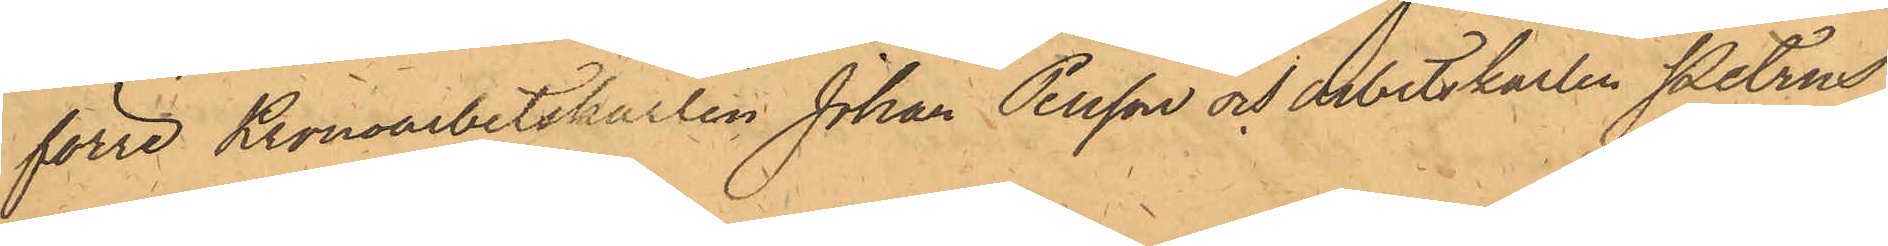förre Kronoarbetskarlen Johan Persson och arbetskarlen Petrus
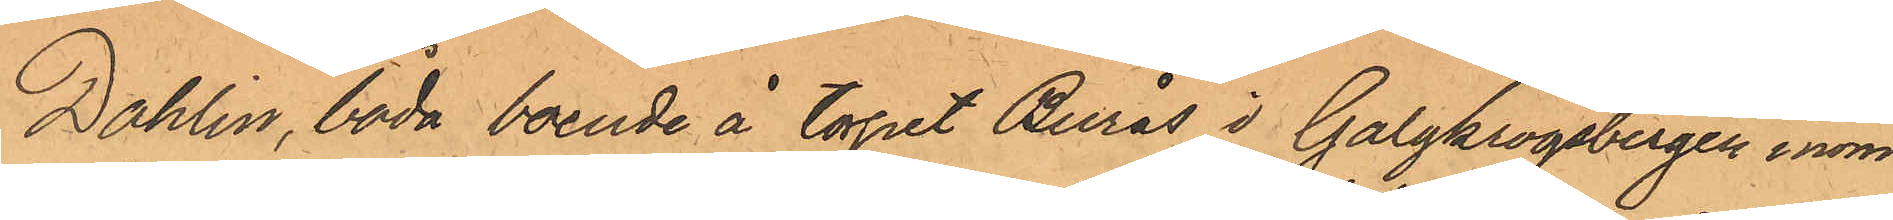Dahlin, båda boende å torget Burås i Galgkrogsbergen inom
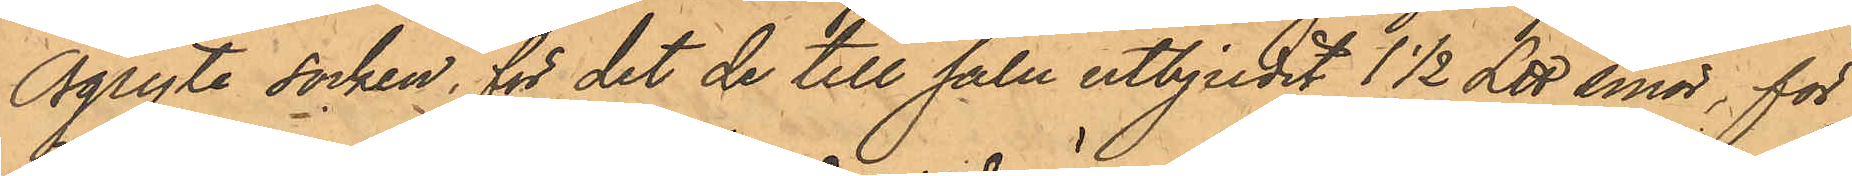Örgryte socken, för det de till salu utbjudit 1 1/2 ℔ smör, för
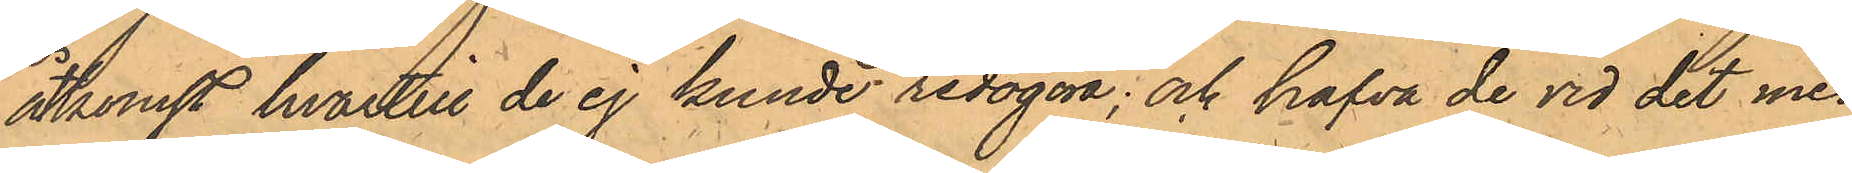åtkomst hvartill de ej kunde redogöra; och hafva de vid det med
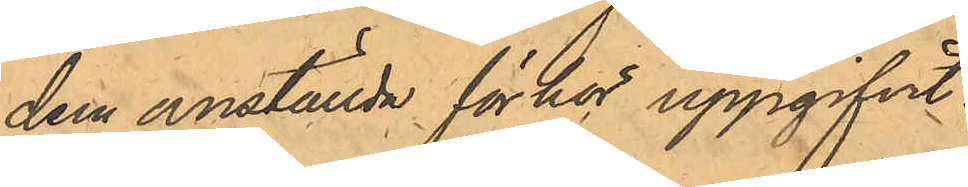dem anställda förhör uppgifvit:
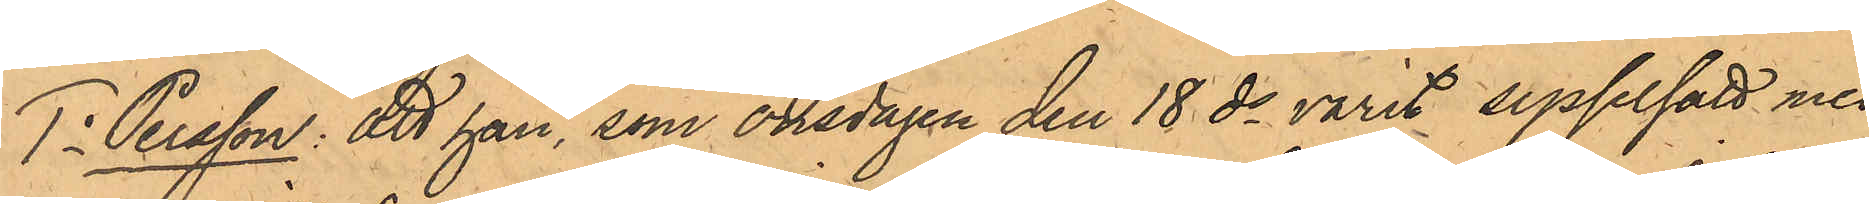1o Persson: att han, som onsdagen den 18 ds varit sysselsatt med
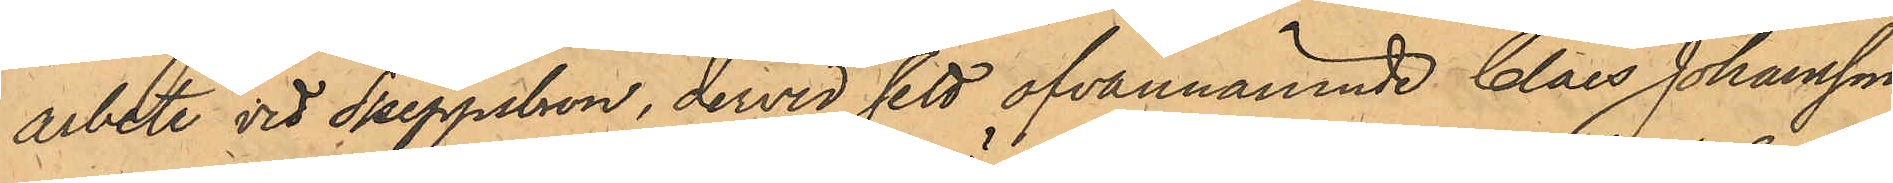arbete vid Skeppsbron, dervid sett ofvannämnde Claes Johansson
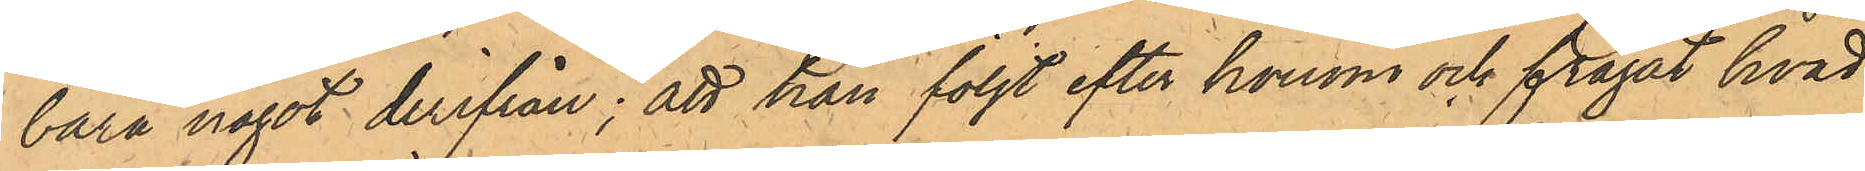bära något derifrån; att han följt efter honom och frågat hvad
